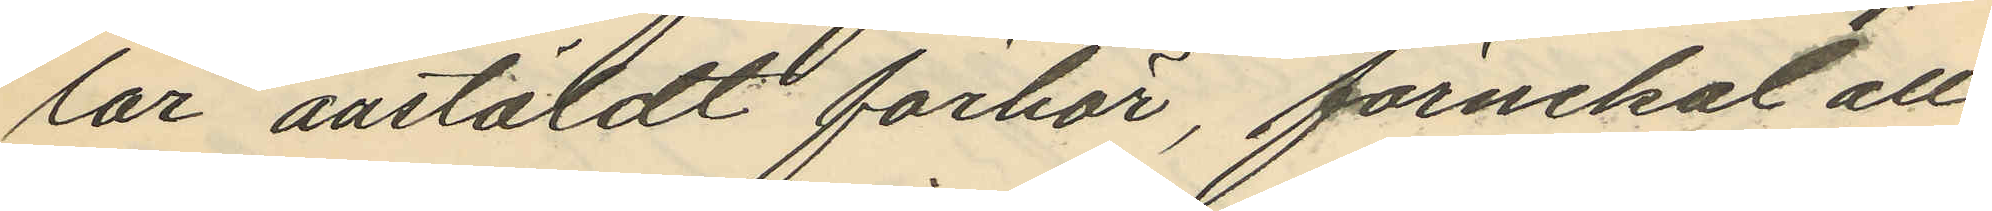lar anstäldt förhör, förnekat all
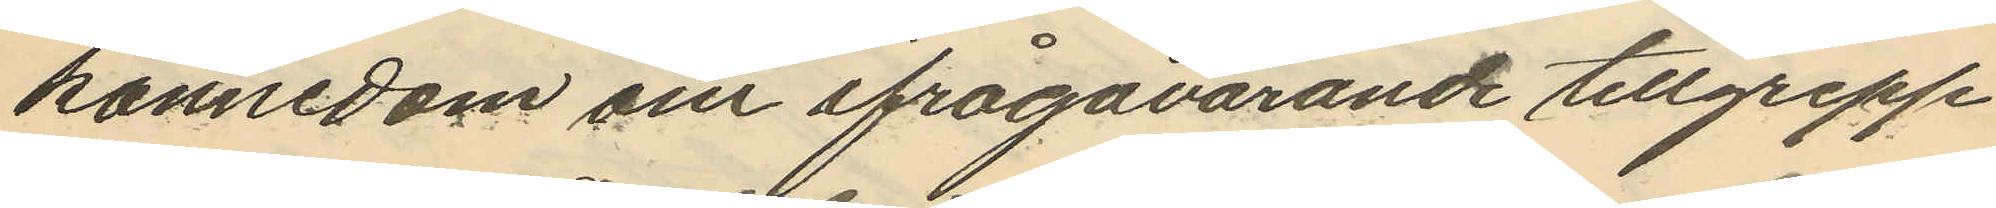kännedom om ifrågavarande tillgrepp
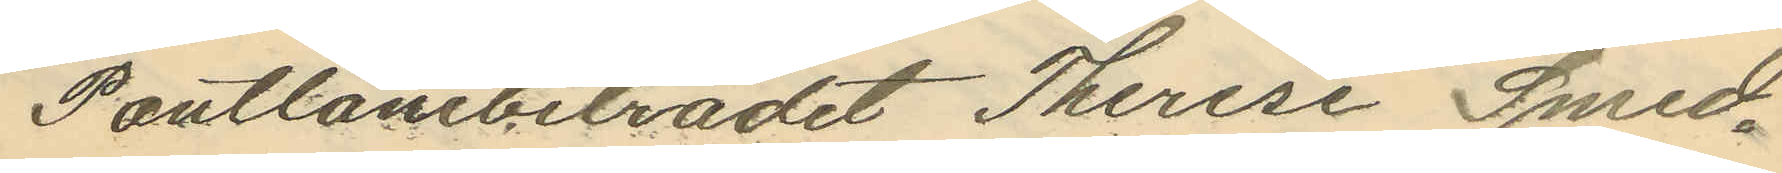Pantlånebiträdet Therese Smed¬
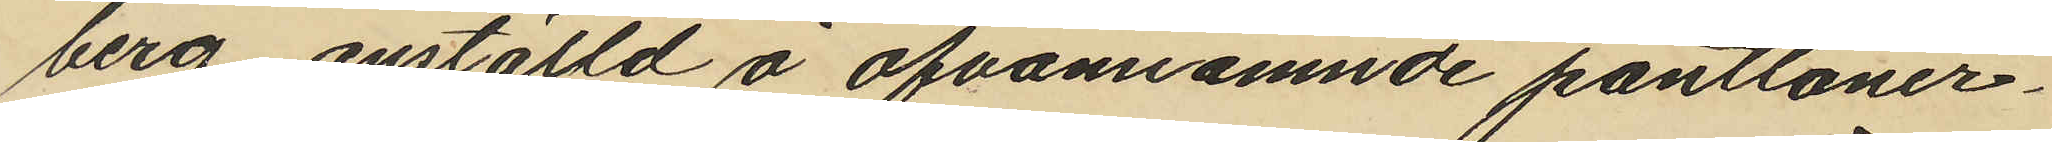berg anställd å ofvannämnde pantlåner¬
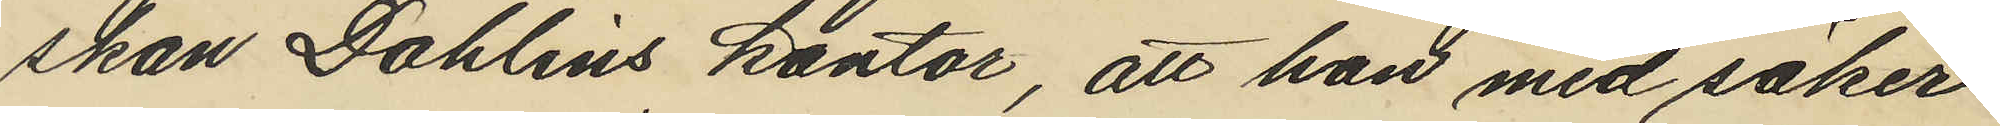skan Dahlins kontor att hon med säker¬
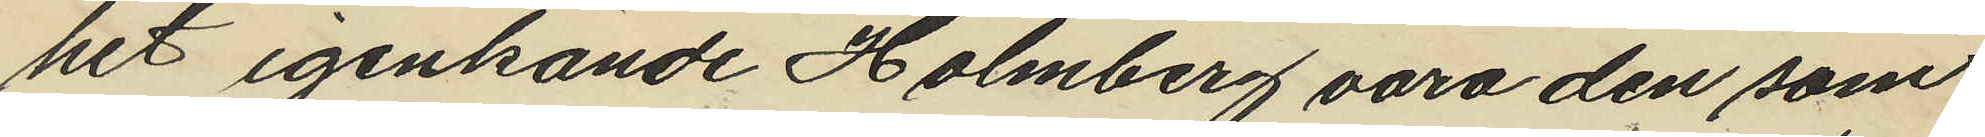het igenkände Holmberg vara den som
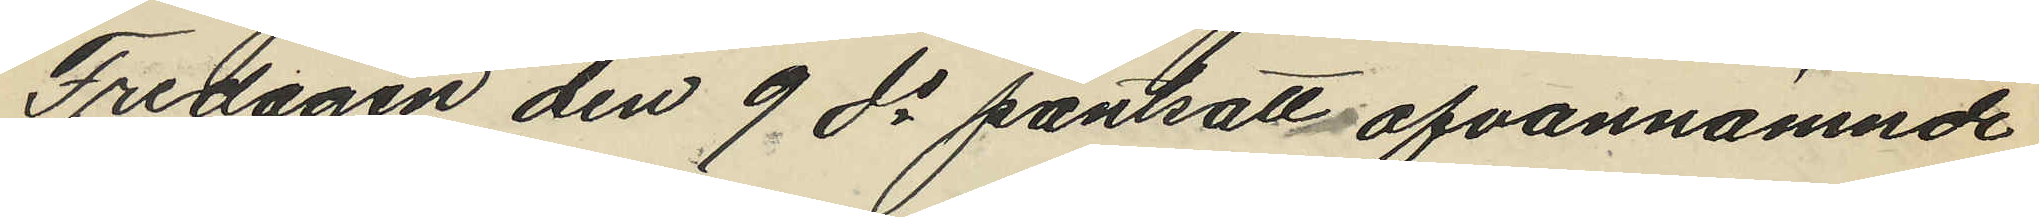Fredagen den 9 ds pantsatt ofvannämnde
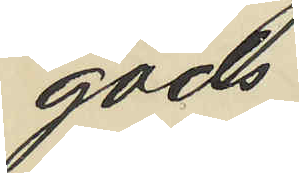gods.
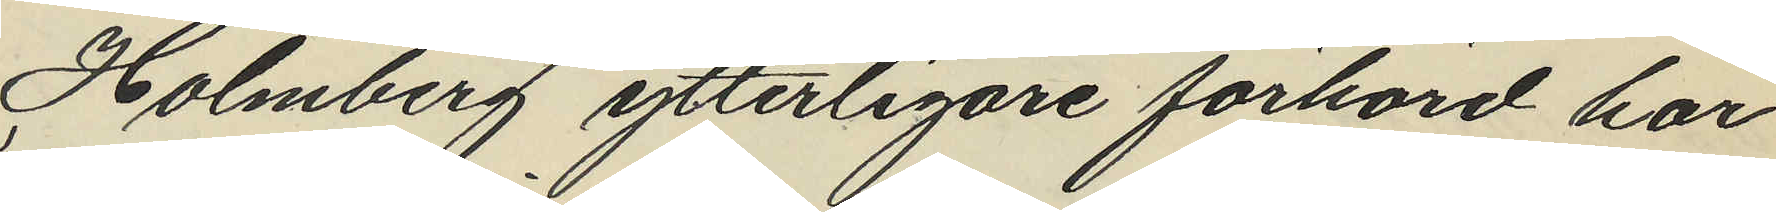Holmberg ytterligare förhörd har
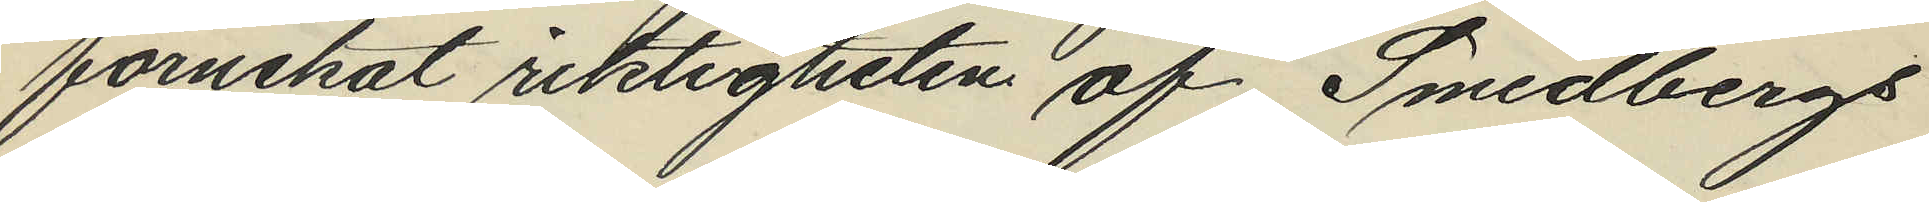förnekat riktigheten af Smedbergs
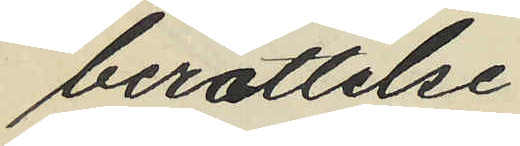berättelse.
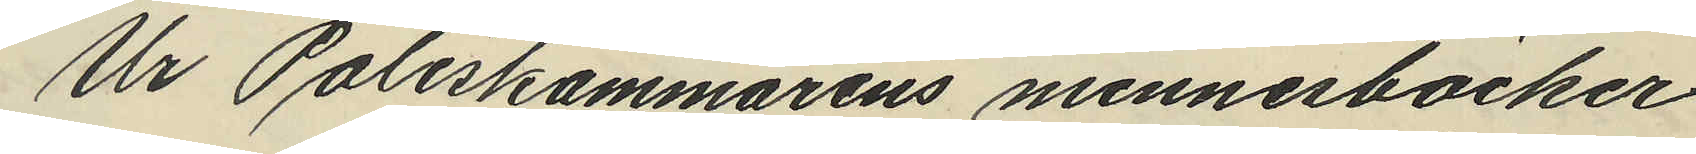Ur Poliskammarens minnesböcker
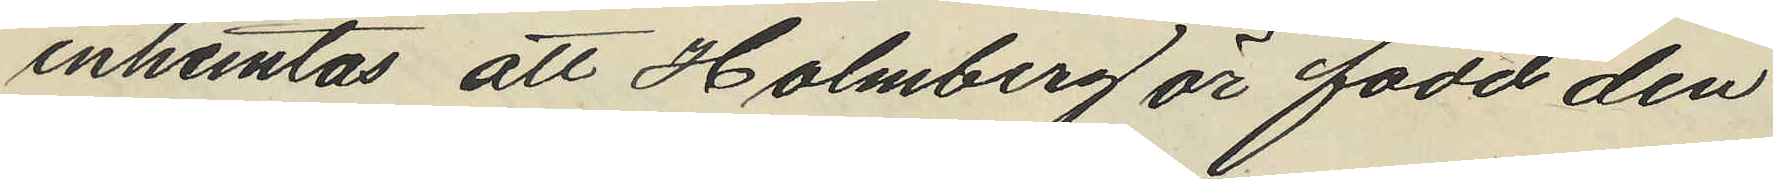inhemtas, att Holmberg är född den
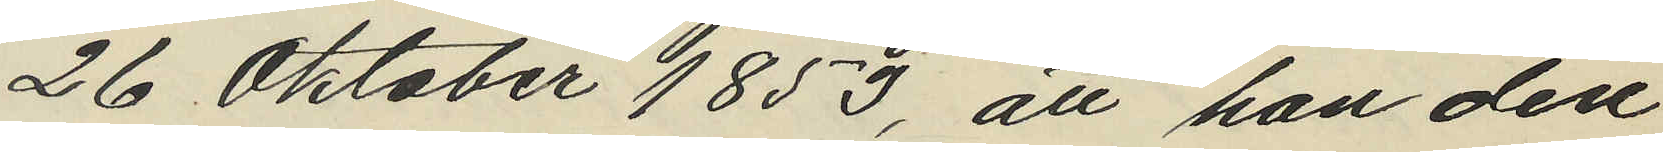26 Oktober 1853, att han den
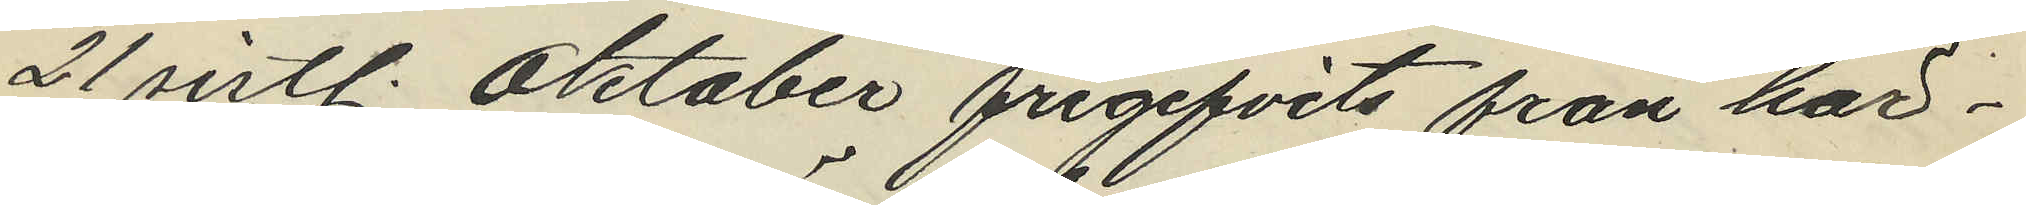21 sistl. Oktober frigifvits från här¬
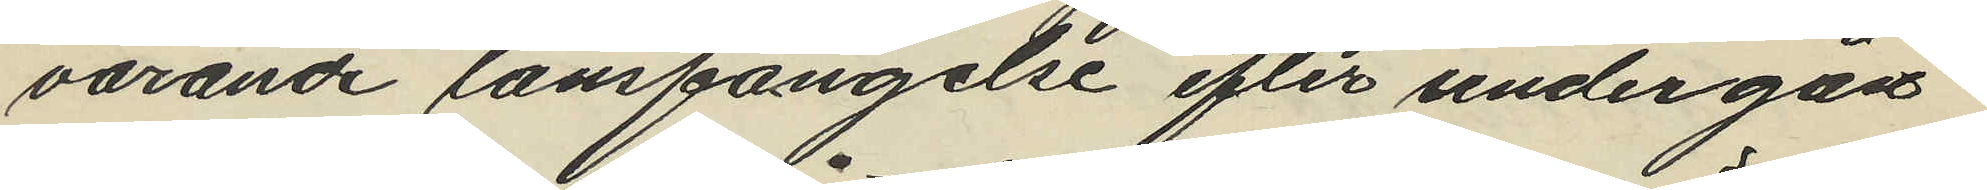varande länsfängelse efter undergån¬
